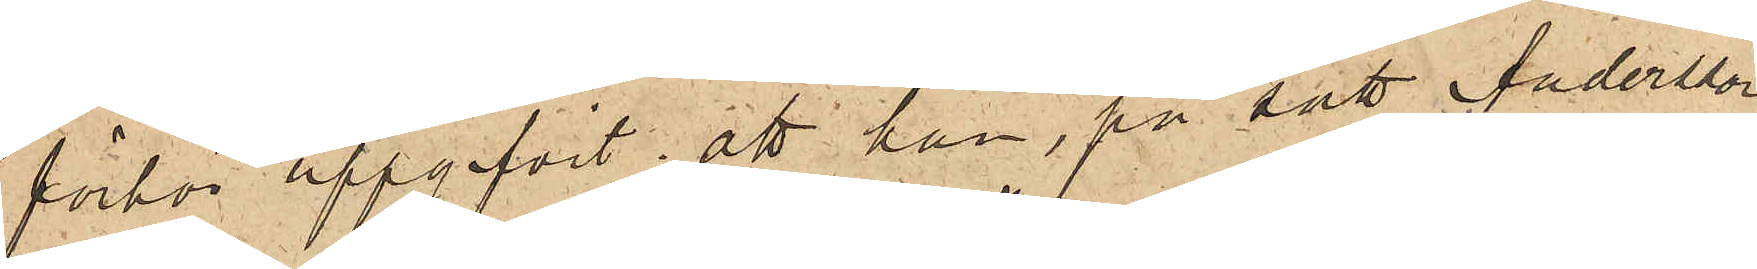förhör uppgifvit, att han, på sätt Andersson
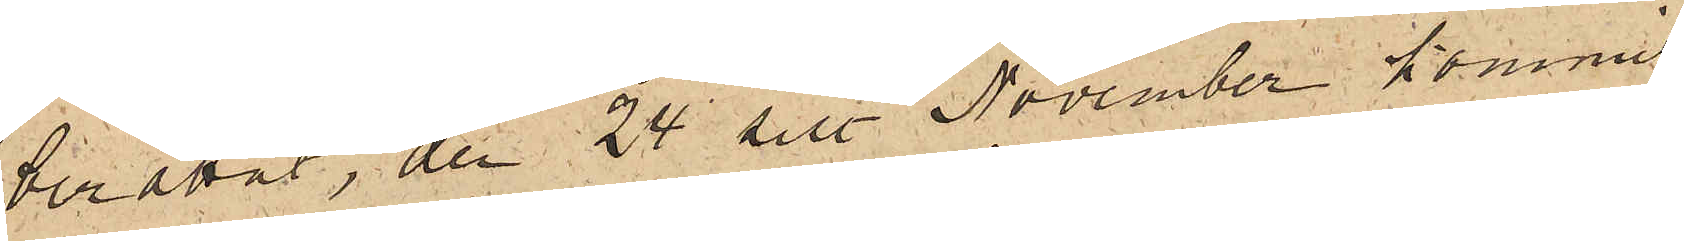berättat, den 24 sist. November kommit
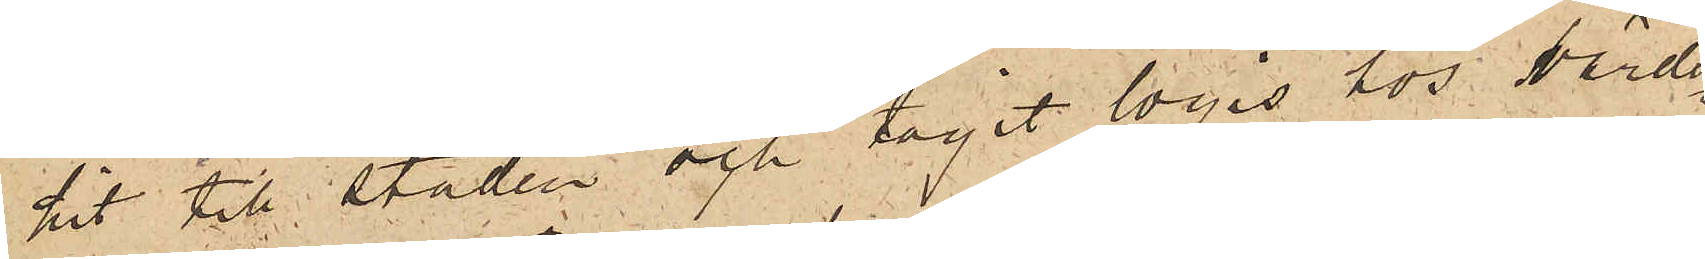hit till staden och tagit logis hos värds¬
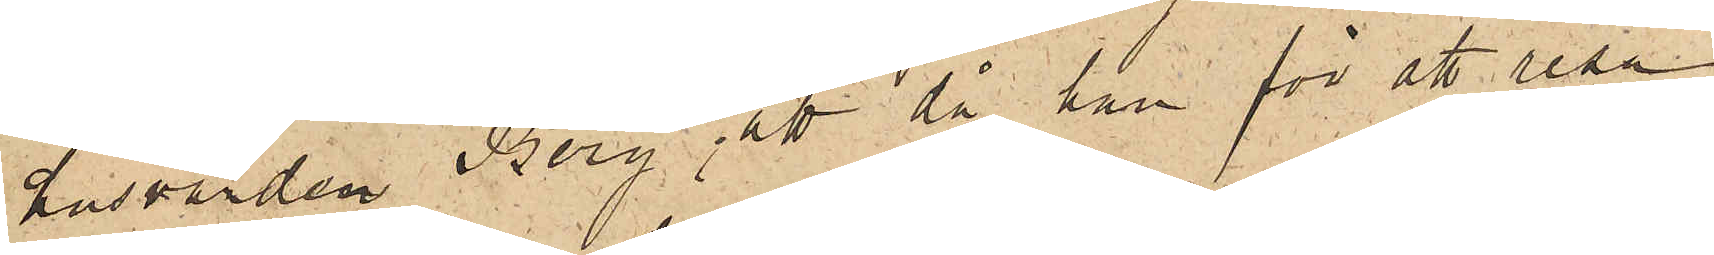husvärden Berg; att då han för att resa
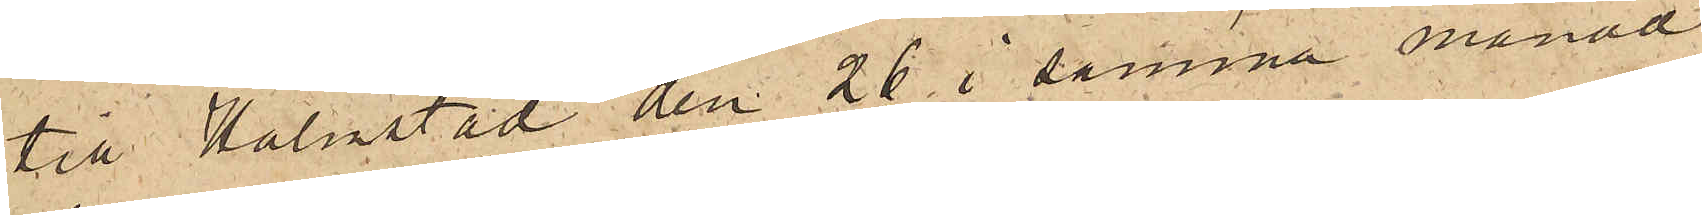till Halmstad den 26 i samma månad
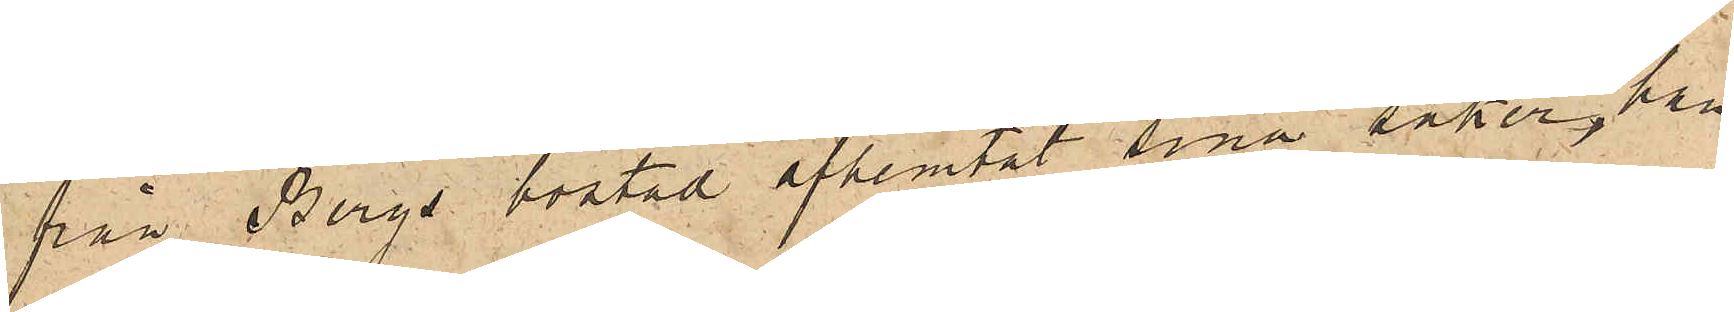från Bergs bostad afhemtat sina saker, han
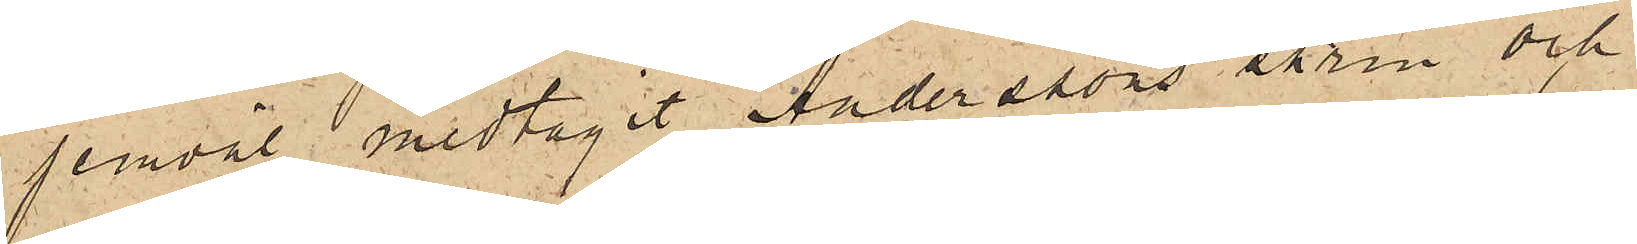jemväl medtagit Anderssons skrin och
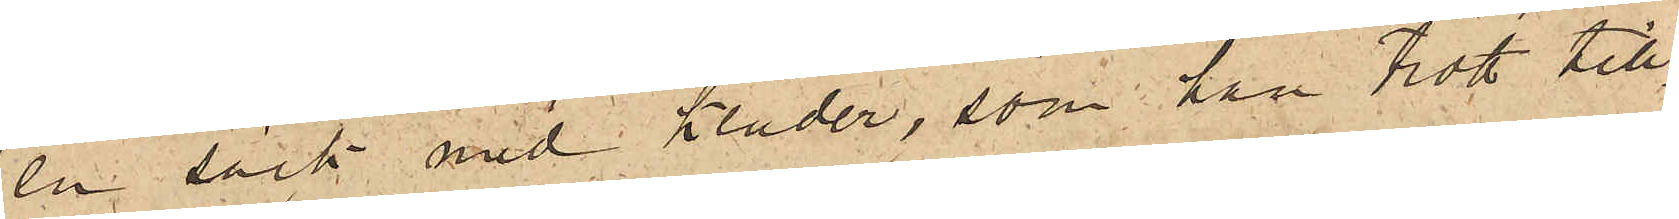en säck med kläder, som han trott till¬
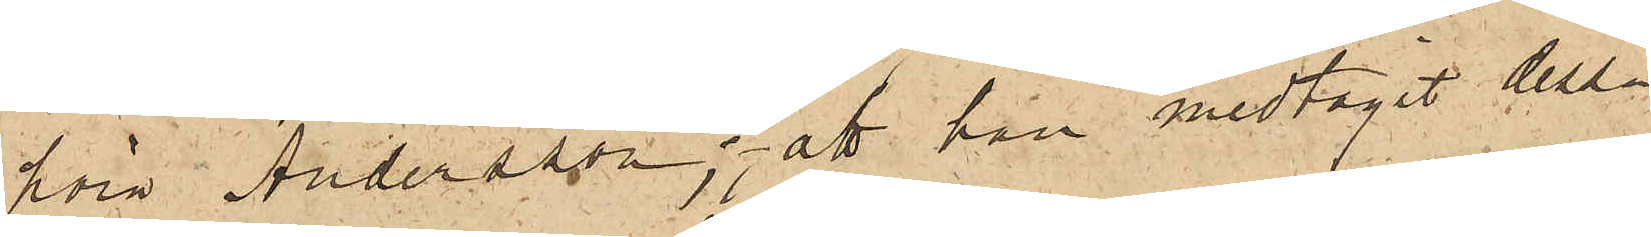höra Andersson; att han medtagit dessa
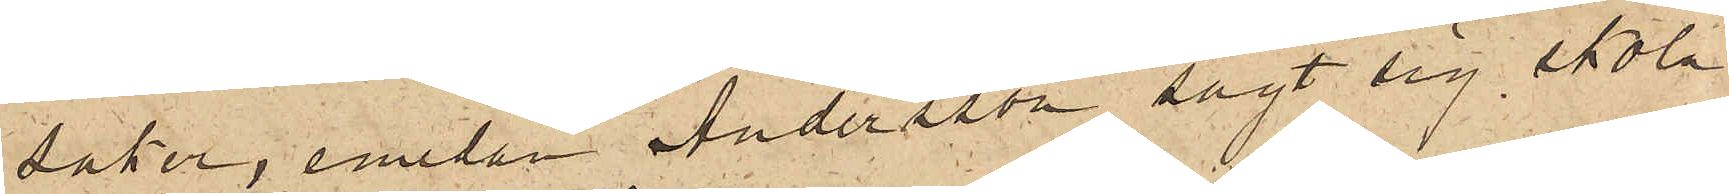saker, emedan Andersson sagt sig skola
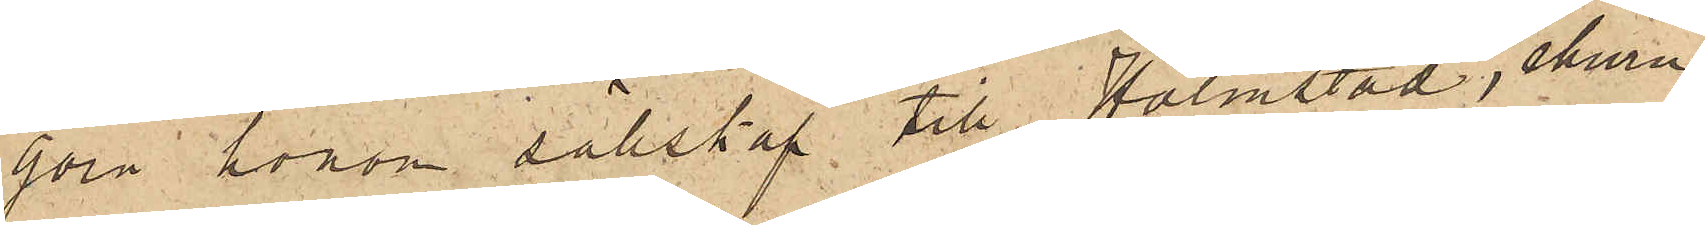göra honom sällskap till Halmstad, ehuru,
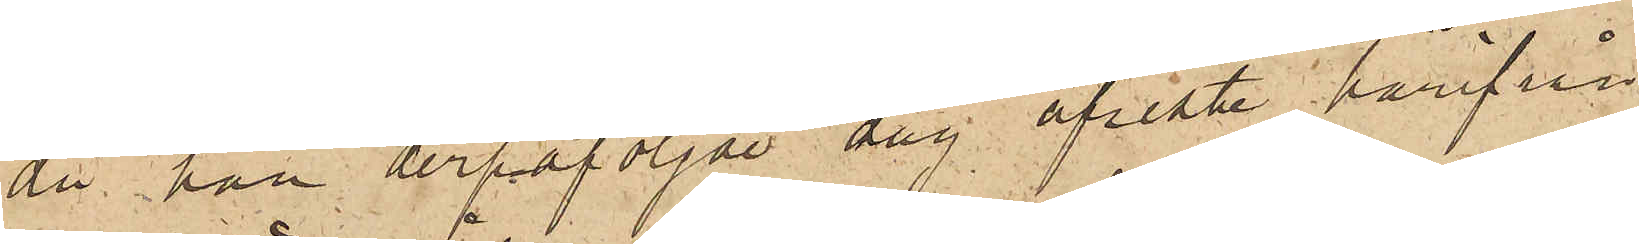då han derpåföljde dag afreste härifrån
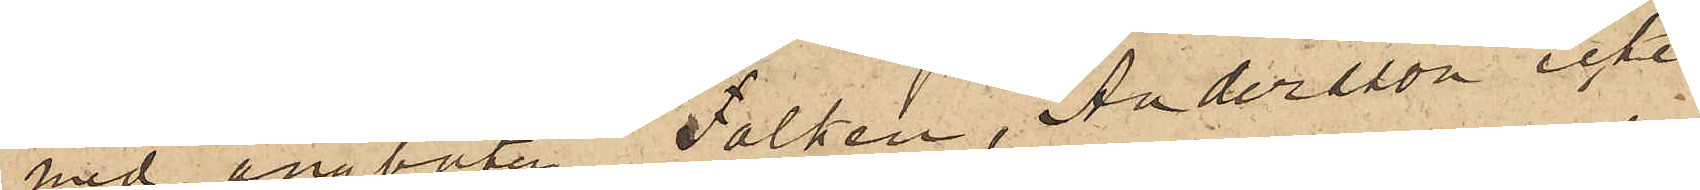med ångbåten Falken, Andersson icke
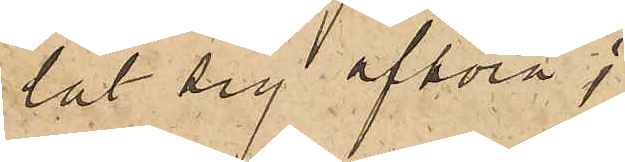lät sig afhöra;
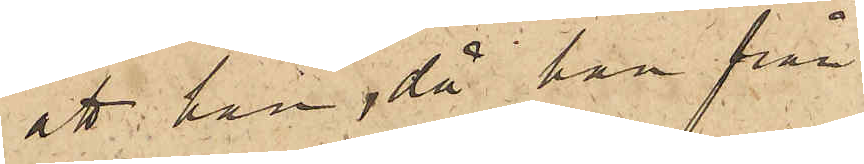att han, då han från
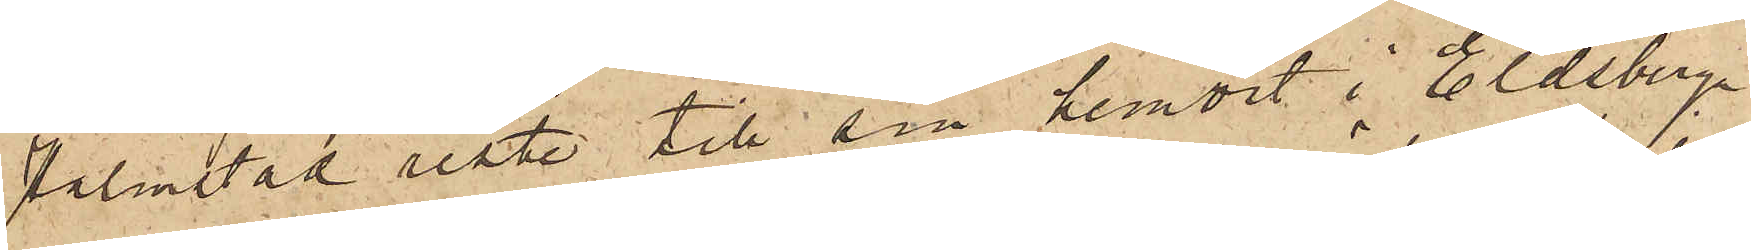Halmstad reste till sin hemort i Eldsberga
